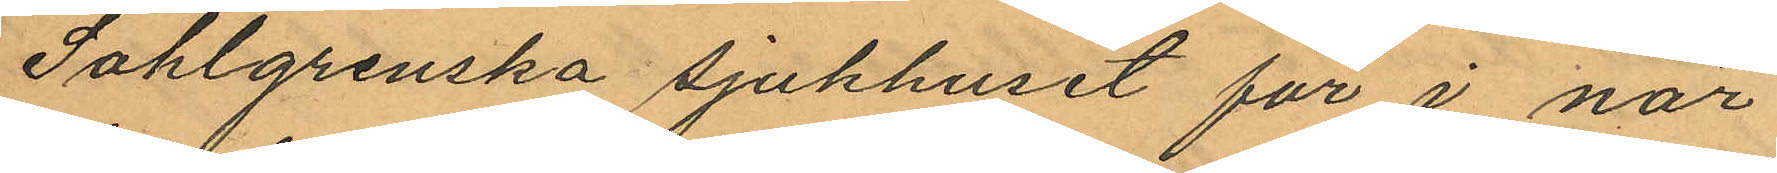Sahlgrenska sjukhuset för i när¬
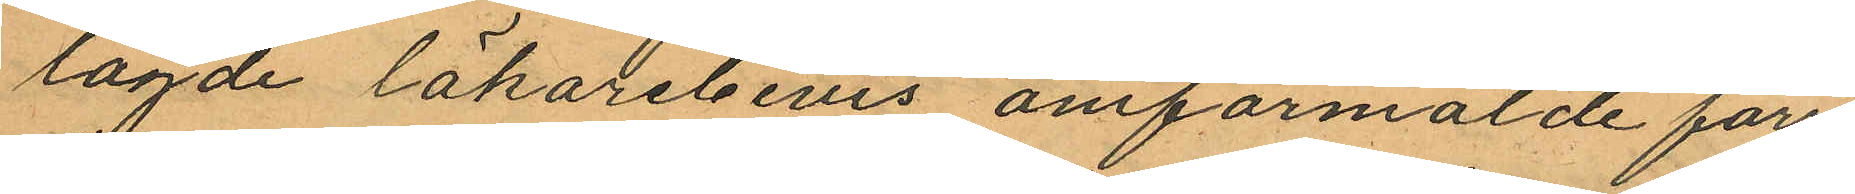lagde läkarebevis omförmälde förre
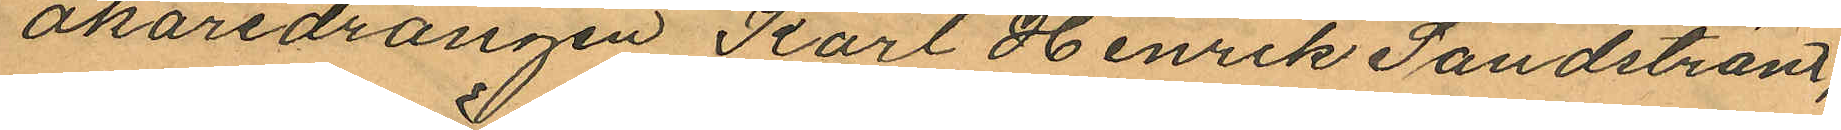åkaredrängen Karl Henrik Sandström,
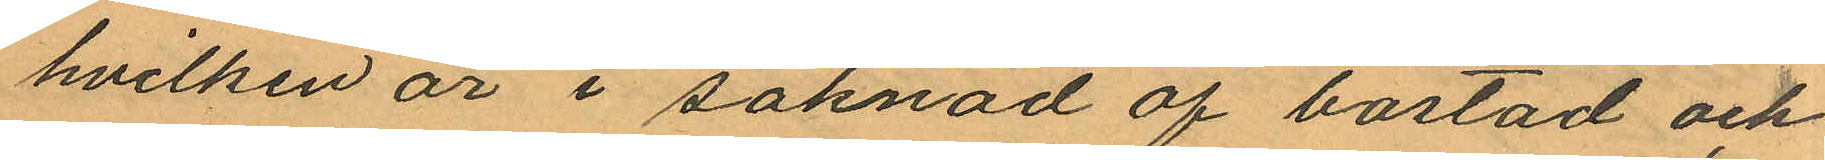hvilken är i saknad af bostad och
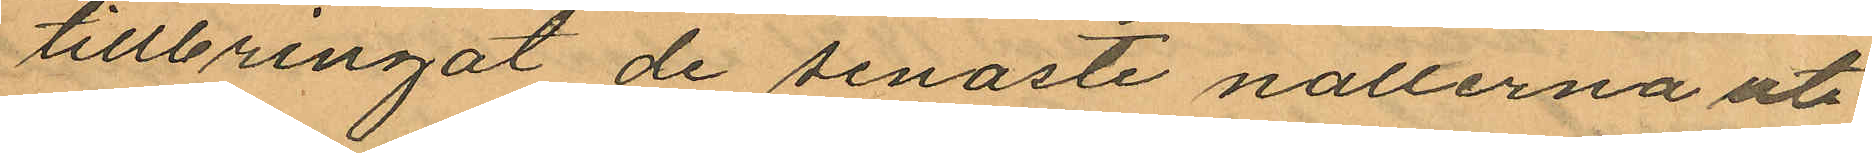tillbringat de senaste nallerna ute¬
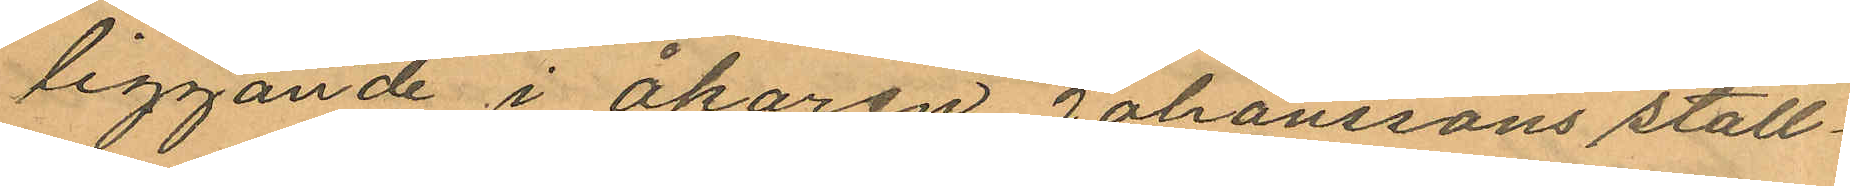liggande i åkaren Johanssons stall¬
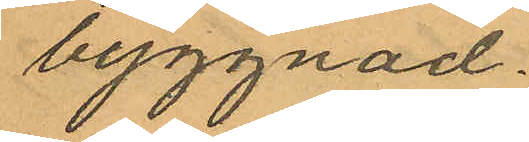byggnad.
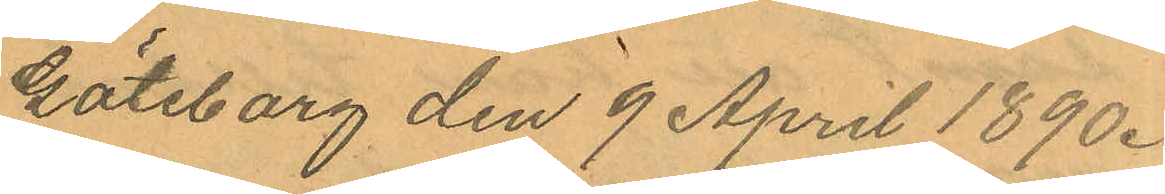Göteborg den 9 April 1890.
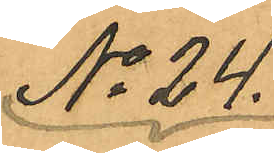No 24.
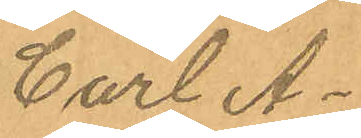Carl A¬
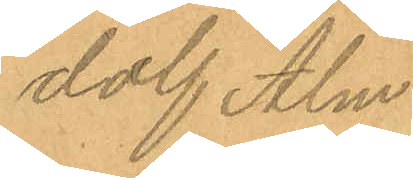dolf Alm
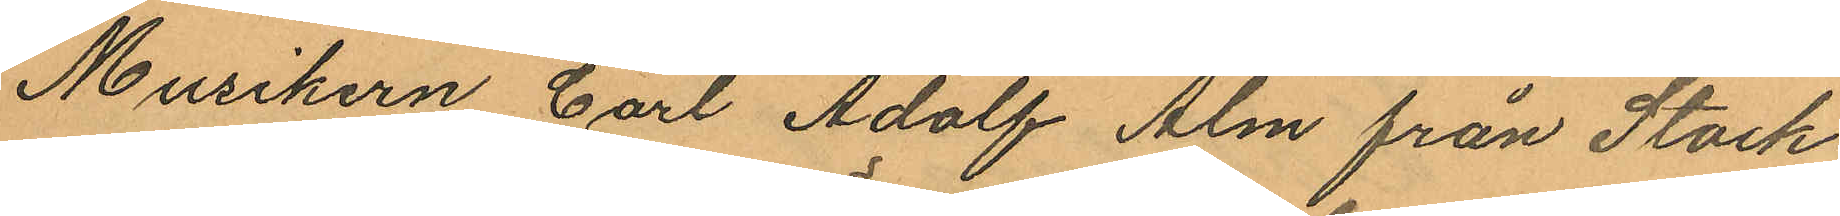Musikern Carl Adolf Alm från Stock¬
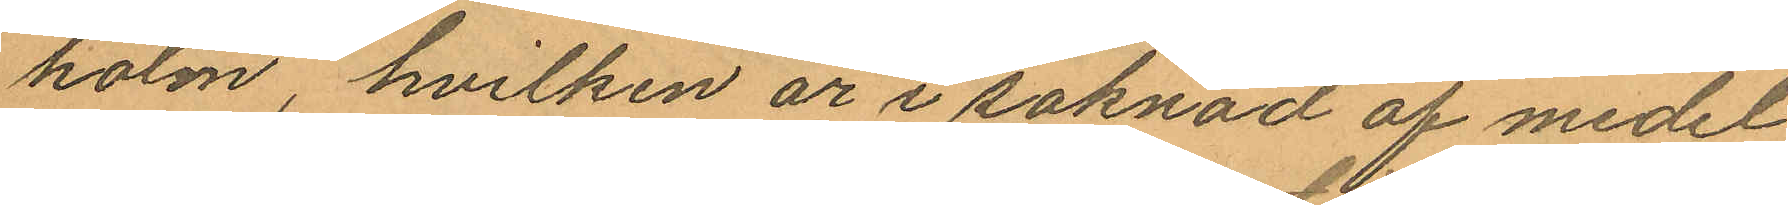holm, hvilken är i saknad af medel
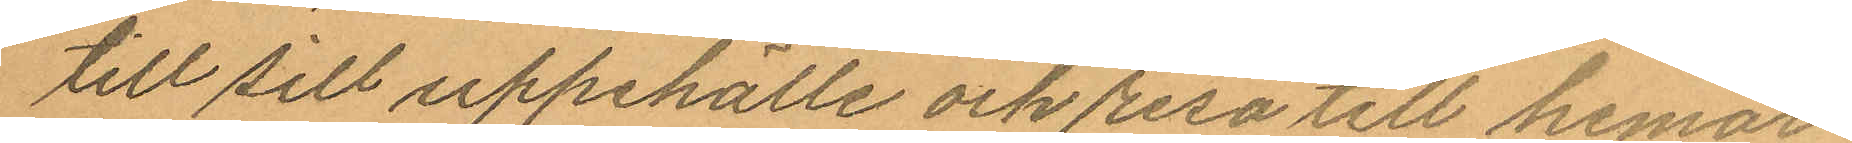till sill uppehälle och resa till hemor¬
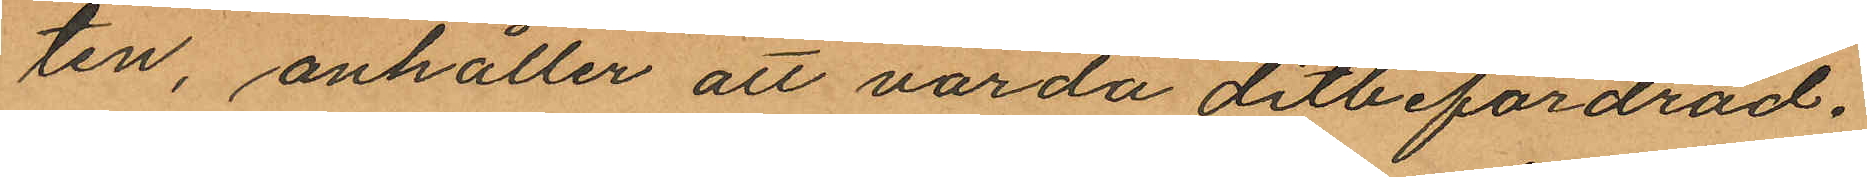ten, anhåller att varda ditbefordrad.
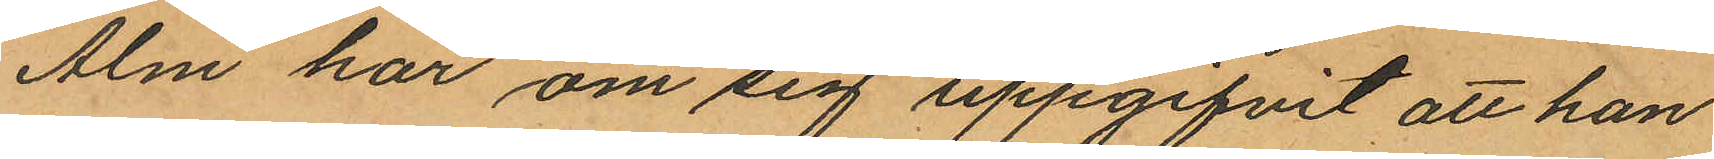Alm har om sig uppgifvit att han
